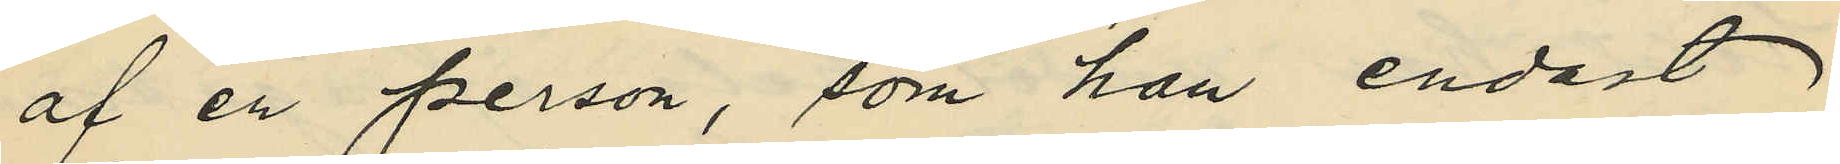af en person, som han endast
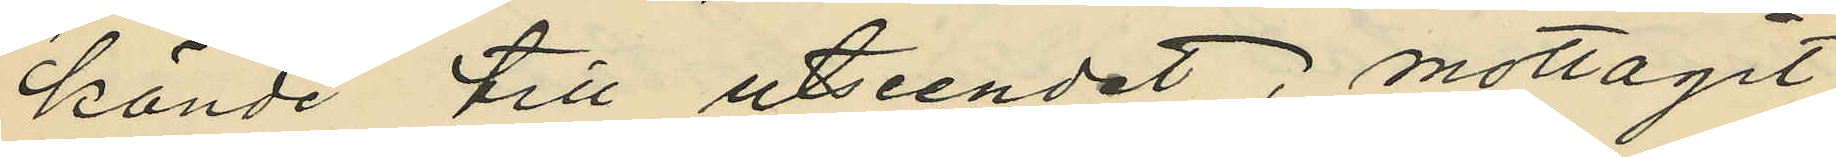kände till utseendet, mottagit
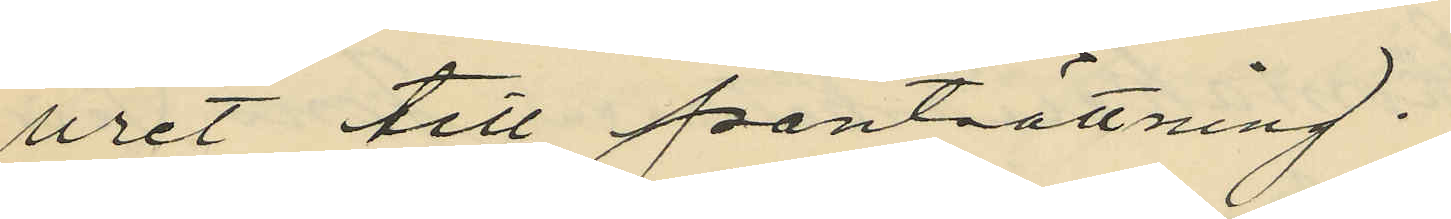uret till pantsättning.
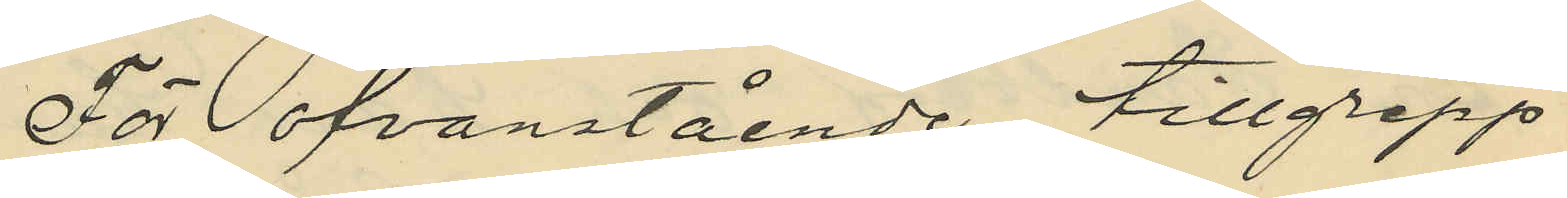För ofvanstående tillgrepp
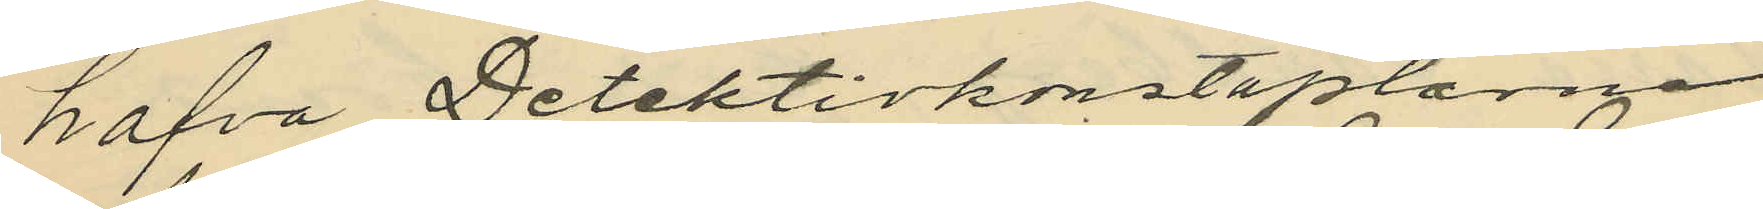hafva Detektivkonstaplarne
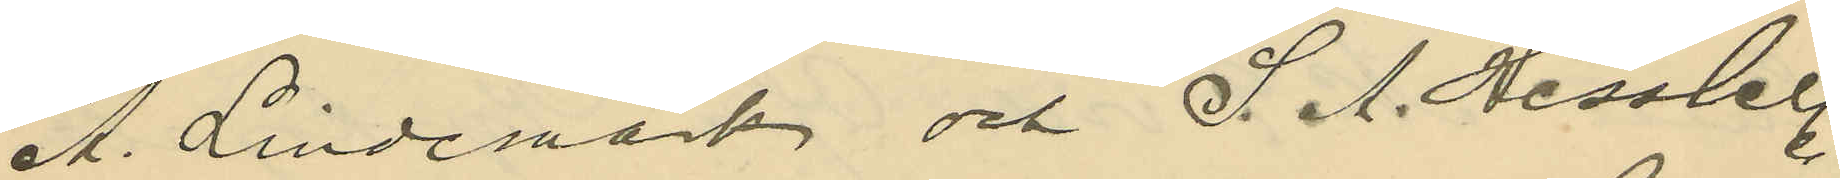A. Lindemark och S. A. Hessler
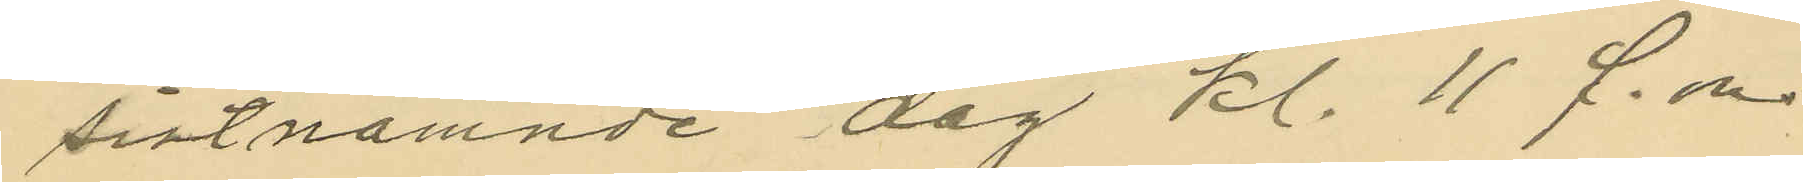sistnämnde dag kl. 11 f.m.
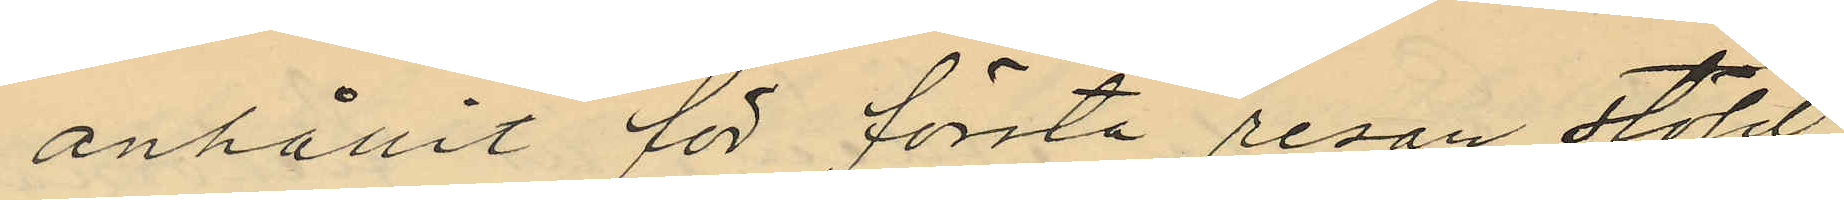anhållit för första resan stöld
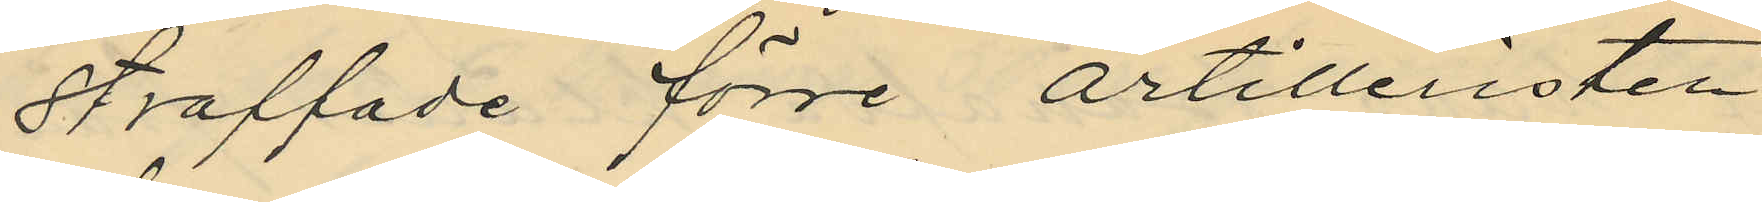straffade förre artilleristen
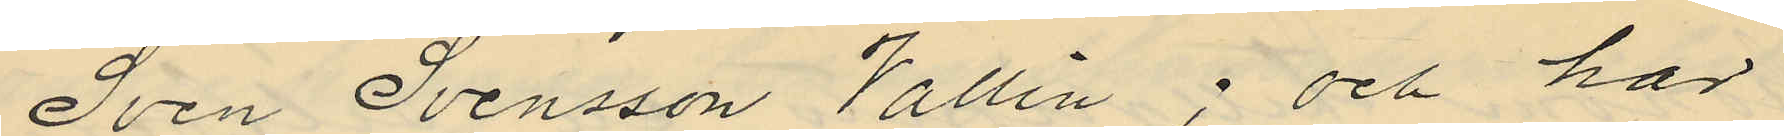Sven Svensson Vallin; och har
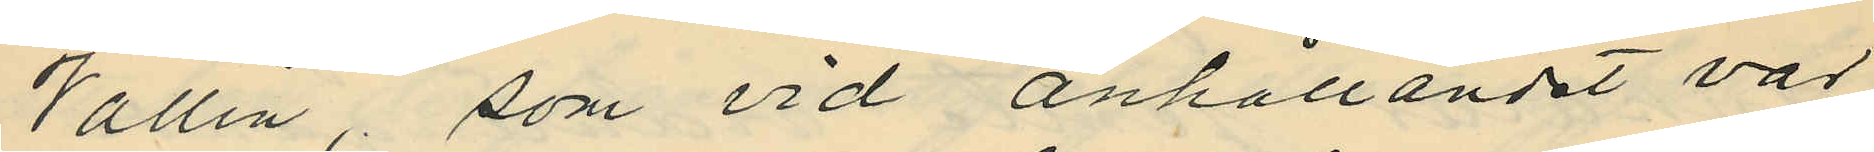Vallin, som vid anhållandet var
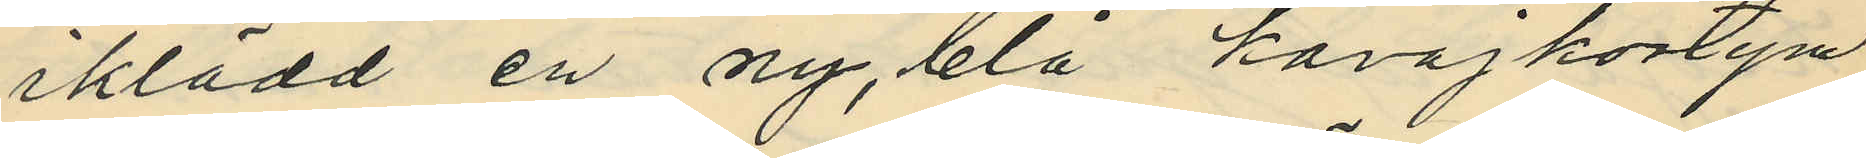iklädd en ny, blå kavajkostym
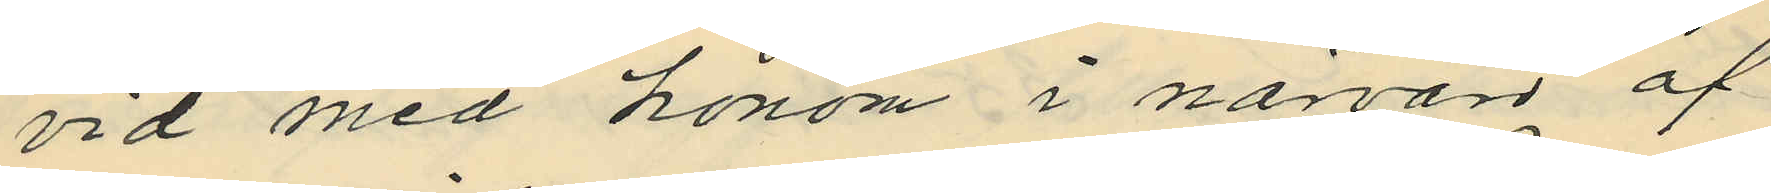vid med honom i närvaro af
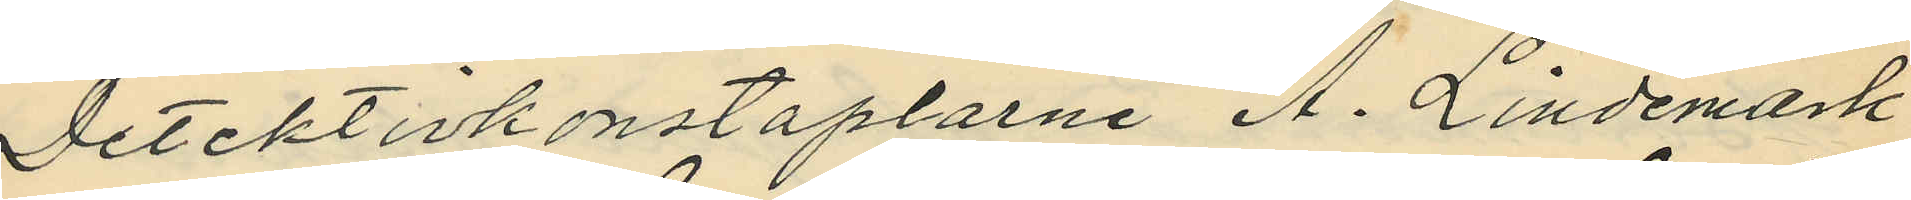Detektivkonstaplarne A. Lindemark
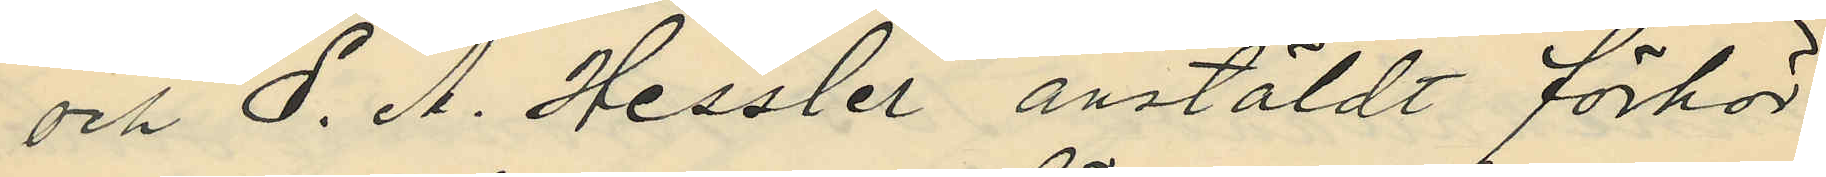och S. A. Hessler anstäldt förhör
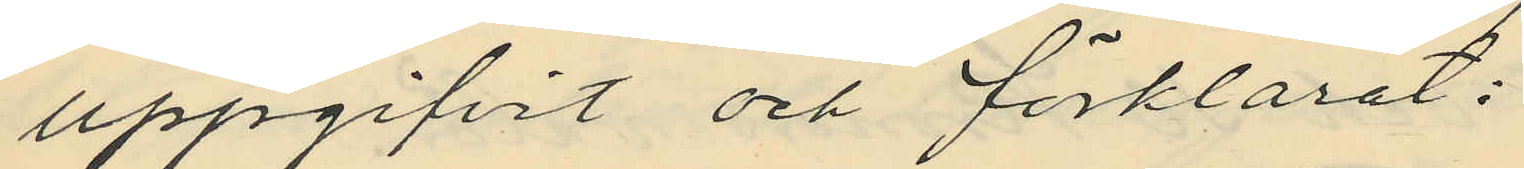uppgifvit och förklarat:
